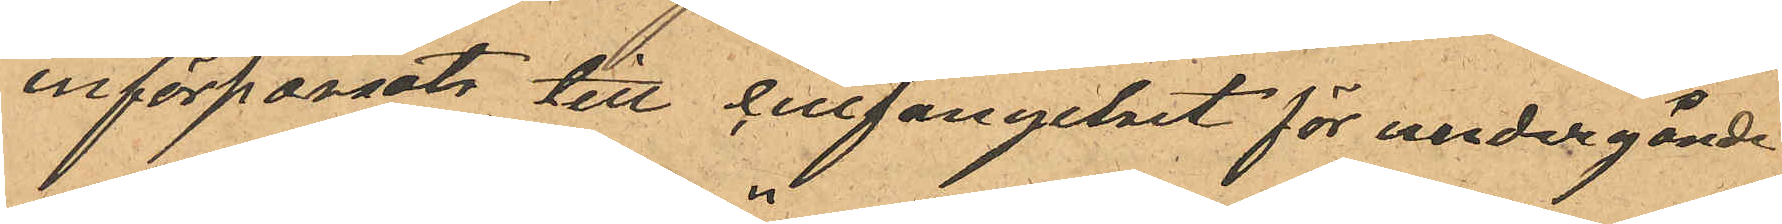införpassats till cellfängelset för undergånde
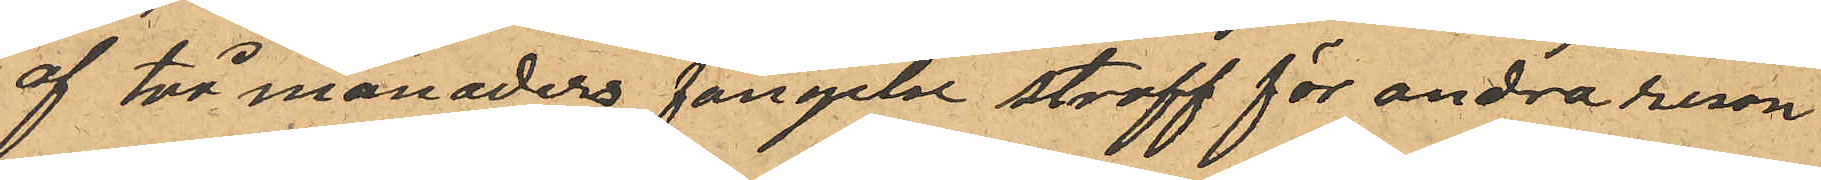af två månaders fängelse straff för andra resan
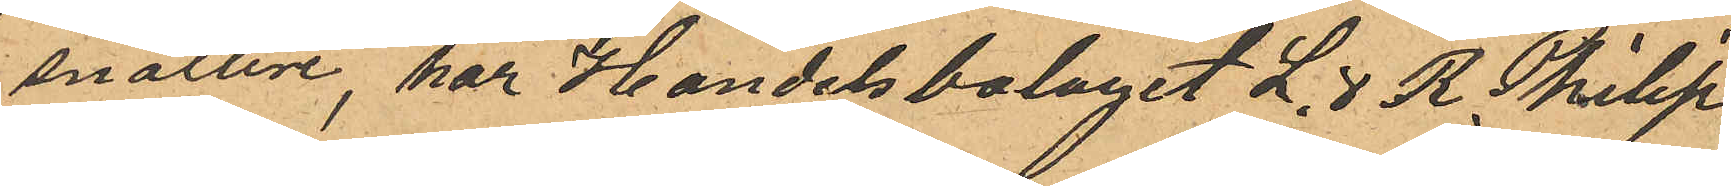snatteri, har Handelsbolaget L. & R. Philip,
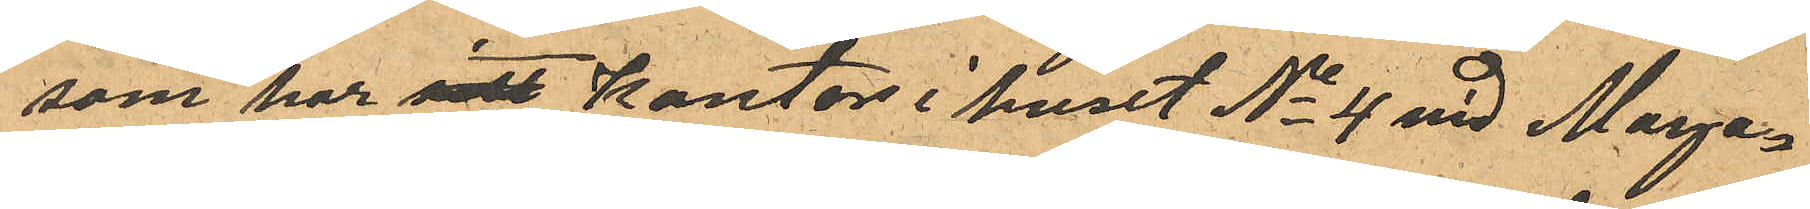som har sitt kontor i huset No 4 vid Maga¬
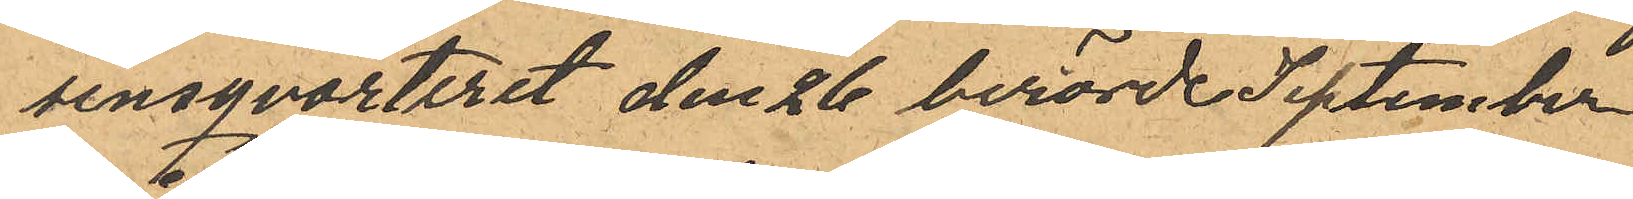sinsqvarteret den 26 berörde September
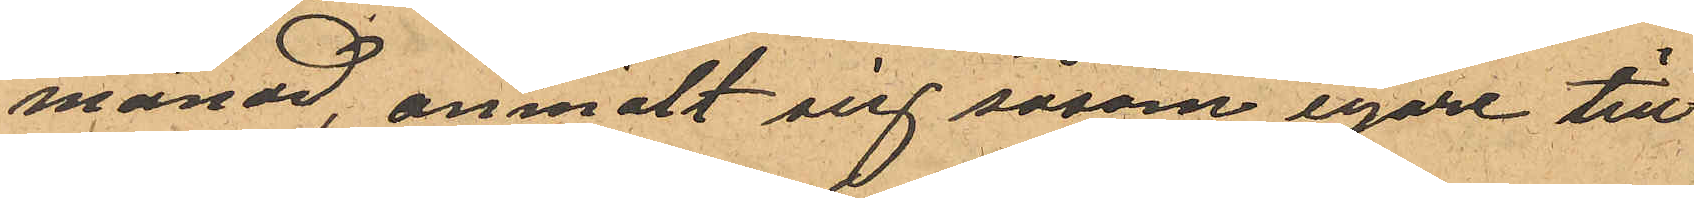månad, anmält sig såsom egare till
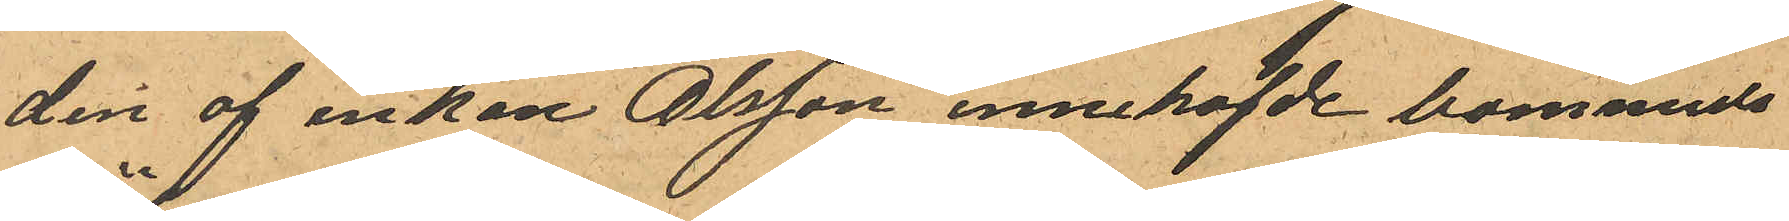den af enkan Olsson innehafde bommuls¬
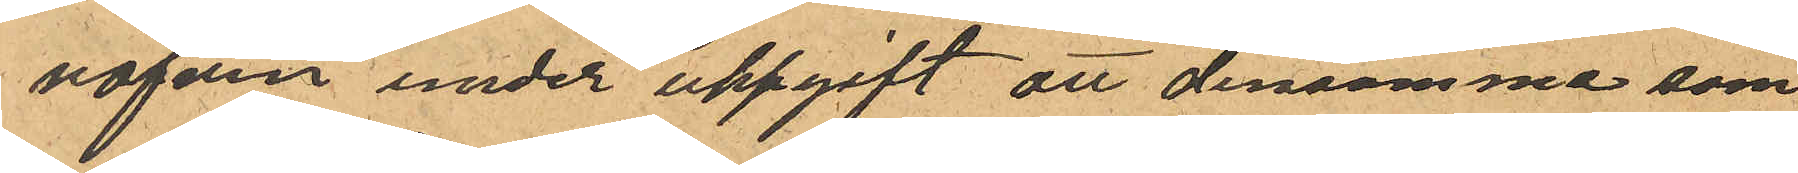väfven under uppgift att densamma som
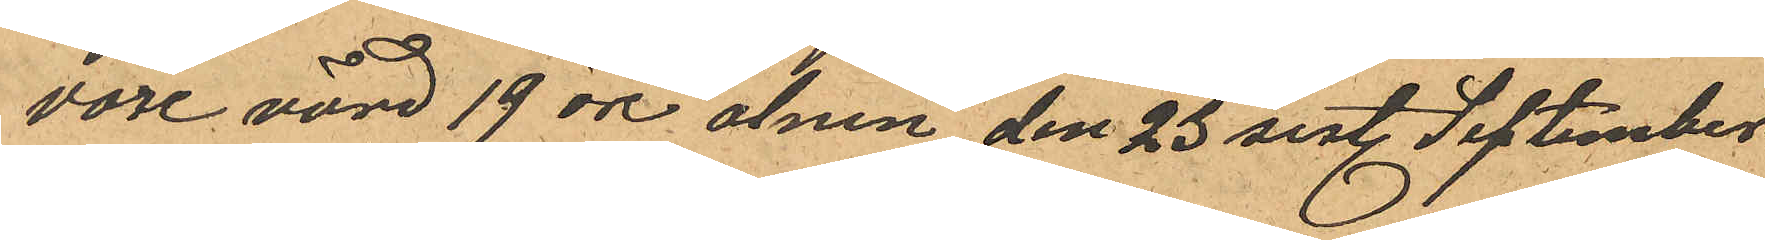vore värd 19 öre alnen den 23 sist. September
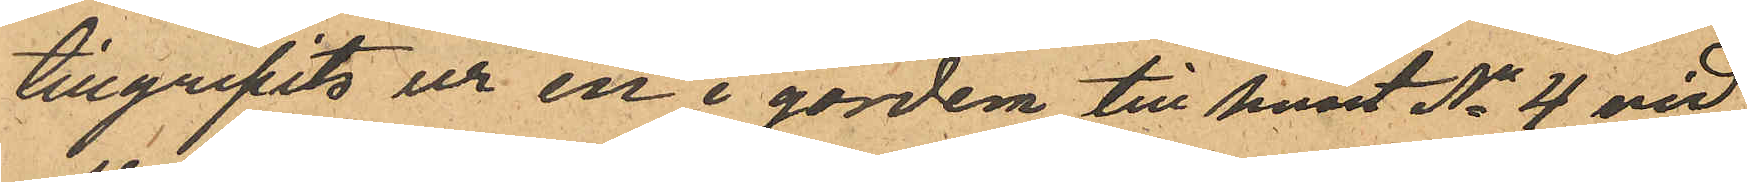tillgripits ur en i gården till huset No 4 vid
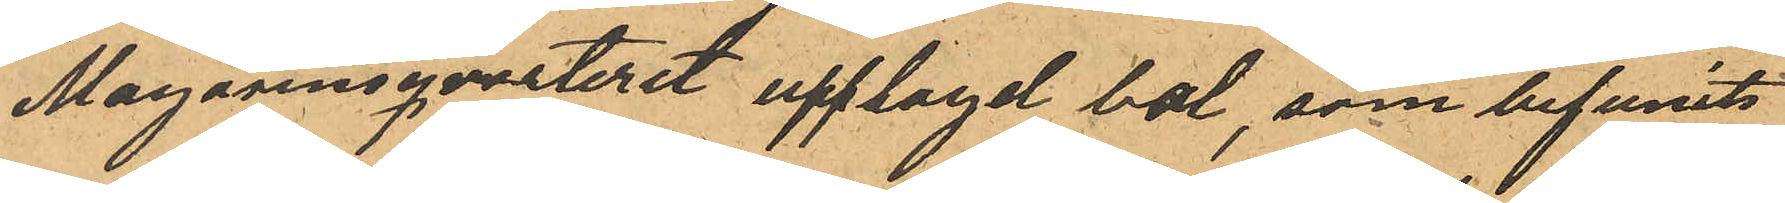Magasinsqvarteret upplagd bal, som befunits
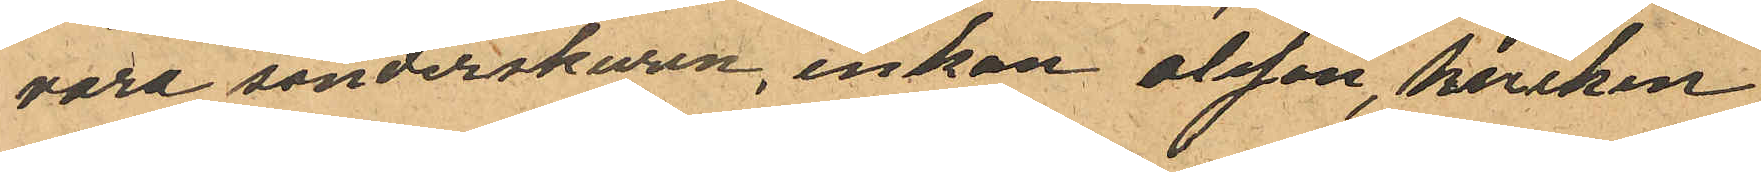vara sönderskuren, enkan Olsson, hvilken
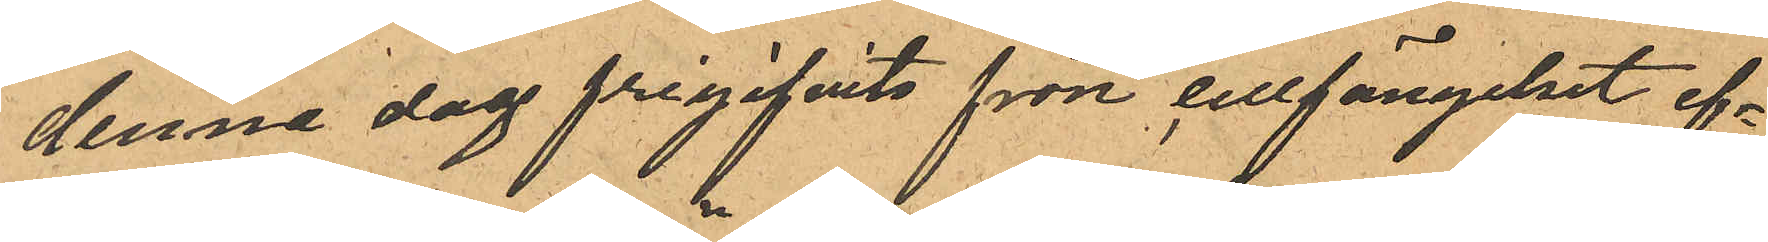denna dag frigifvits från cellfängelset ef¬
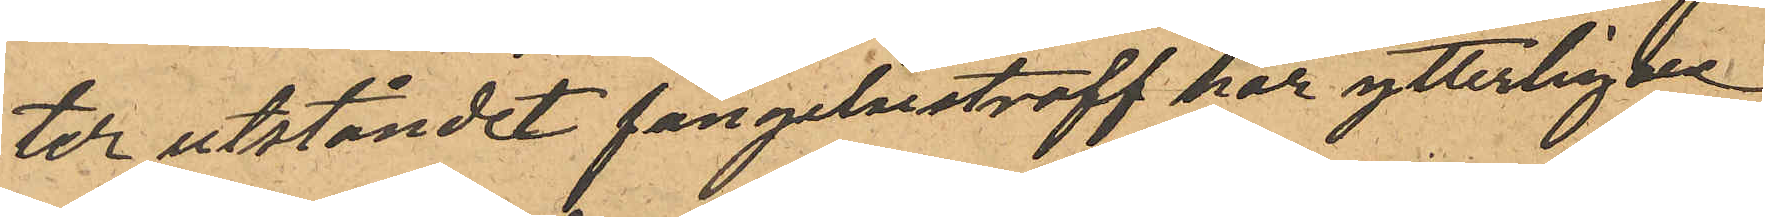ter utståndet fängelsestraff har ytterligare
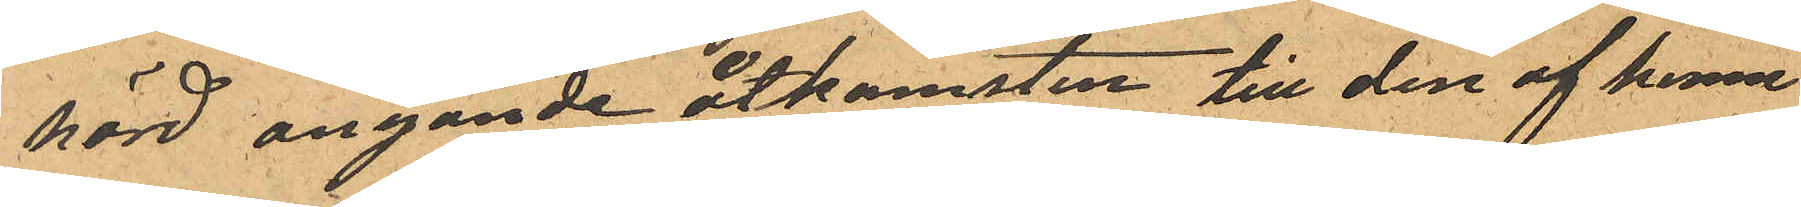hörd angånde åtkomsten till den af henne
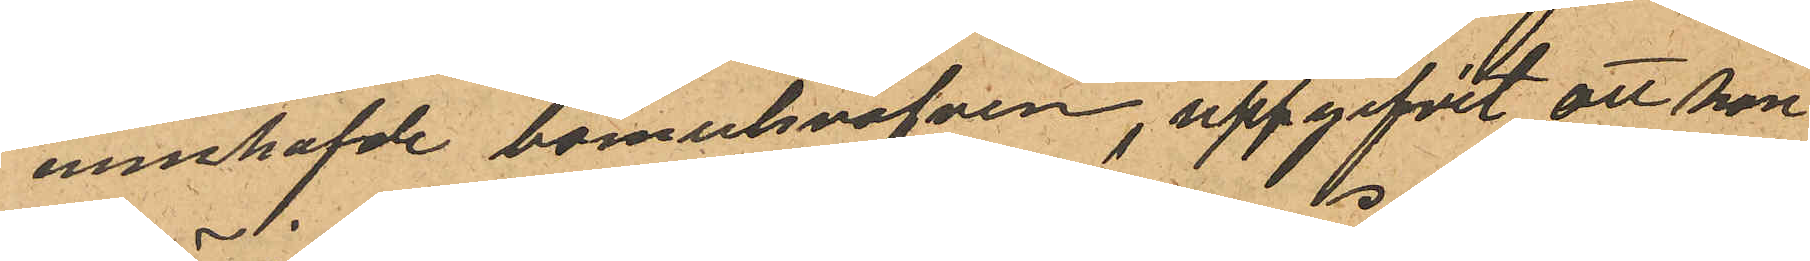innehafde bomulsväfven, uppgifvit, att hon
